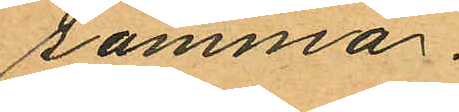samma.
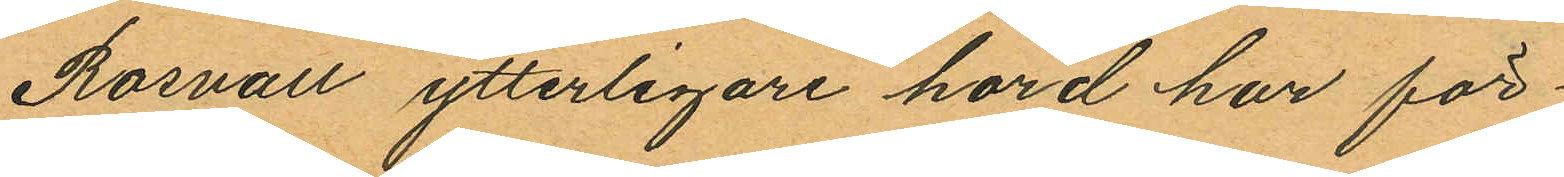Rosvall ytterligare hörd har för
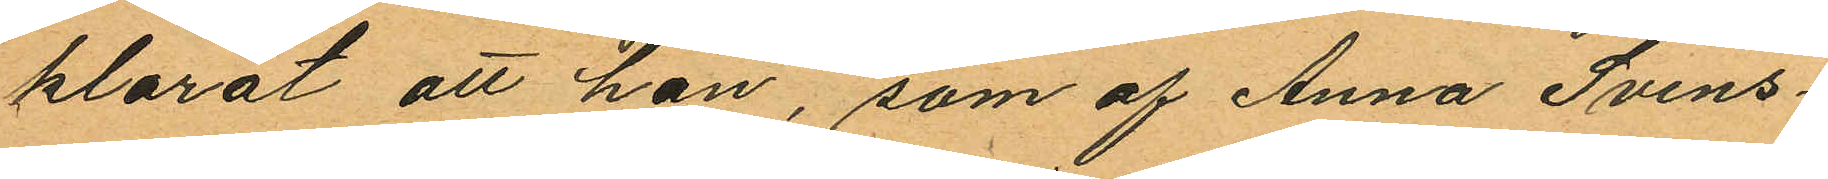klarat att han, som af Anna Svens¬
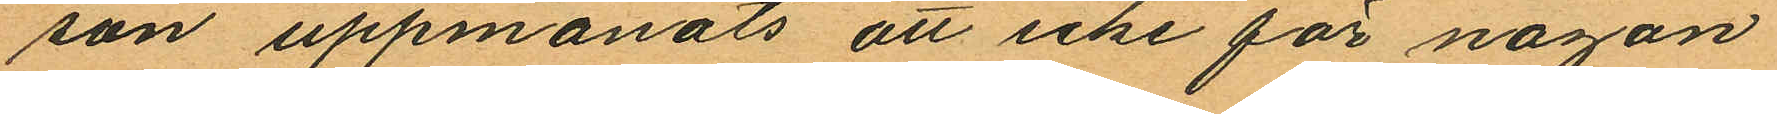son uppmanats att icke för någon
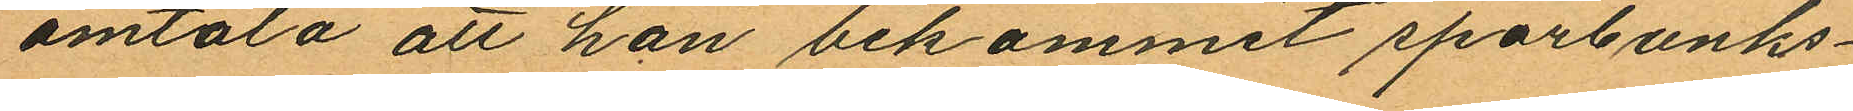omtala att han bekommit sparbanks¬
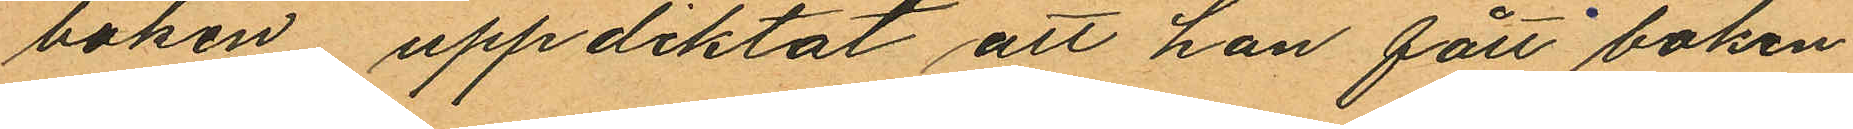boken, uppdiktat att han fått boken
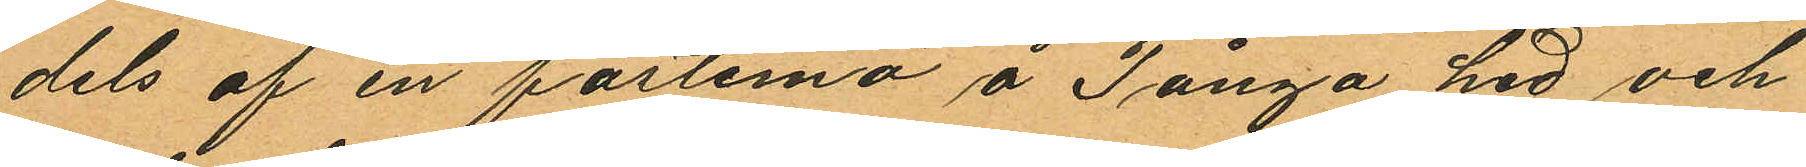dels af en fästemö å Tånga hed och
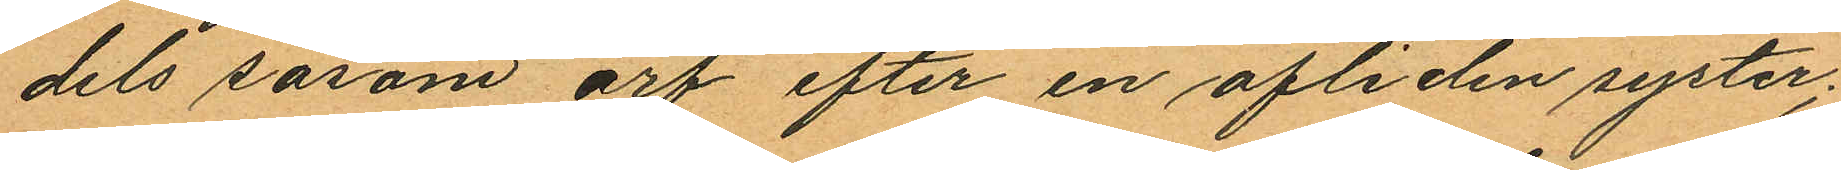dels såsom arf efter en afliden syster;
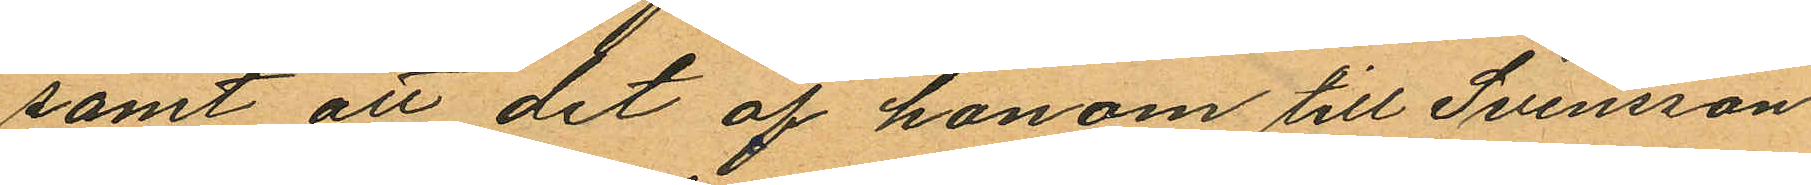samt att det af honom till Svensson
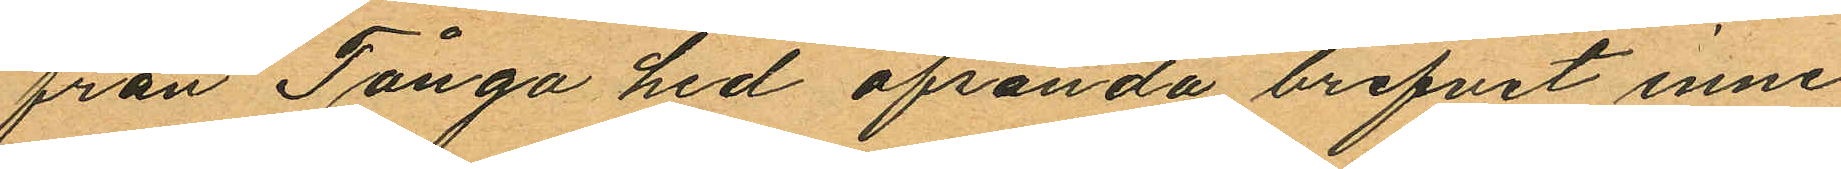från Tånga hed afsända brefvet inne
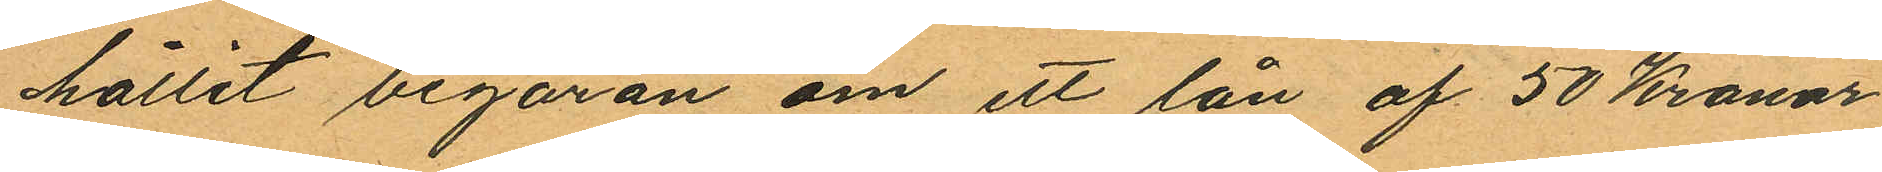hållit begäran om ett lån af 50 Kronor
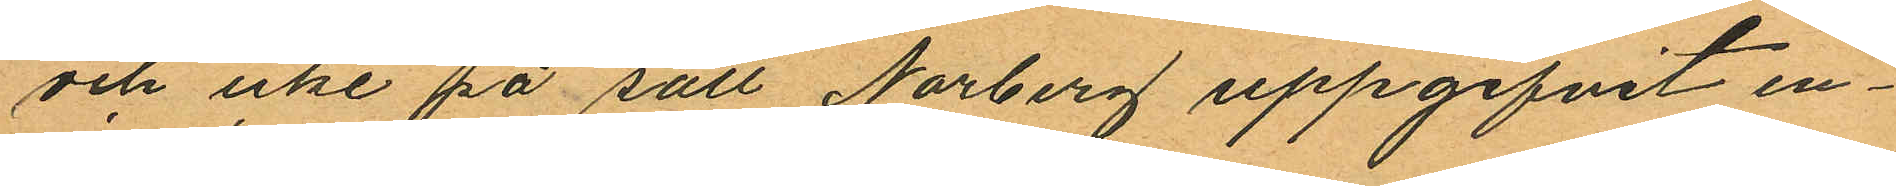och icke på sätt Norberg uppgifvit en¬
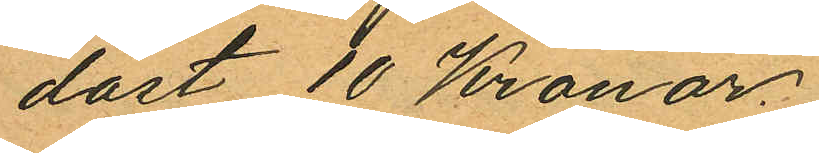dast 10 Kronor.
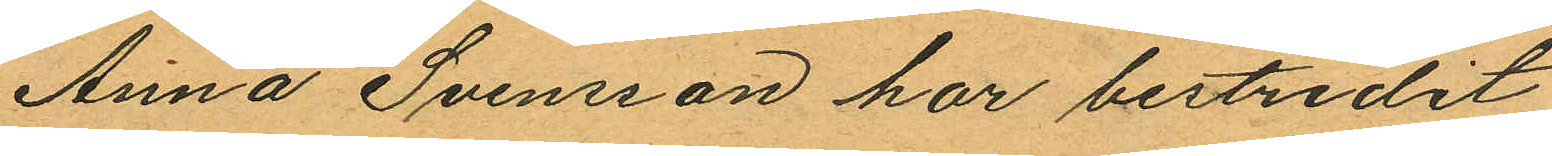Anna Svensson har bestridit
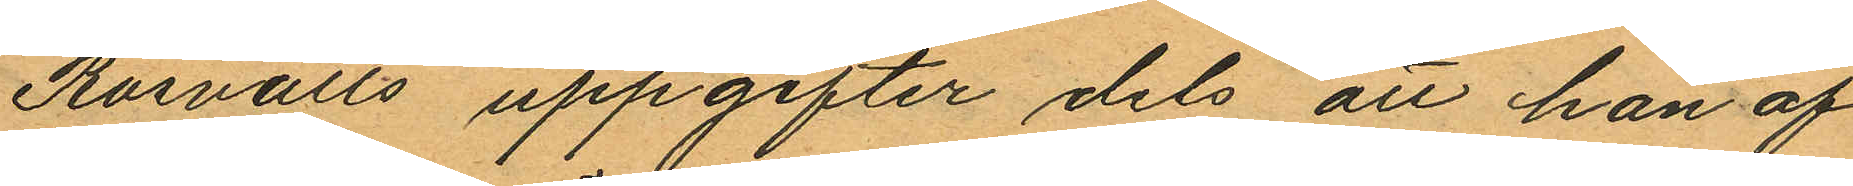Rosvalls uppgifter dels att han af
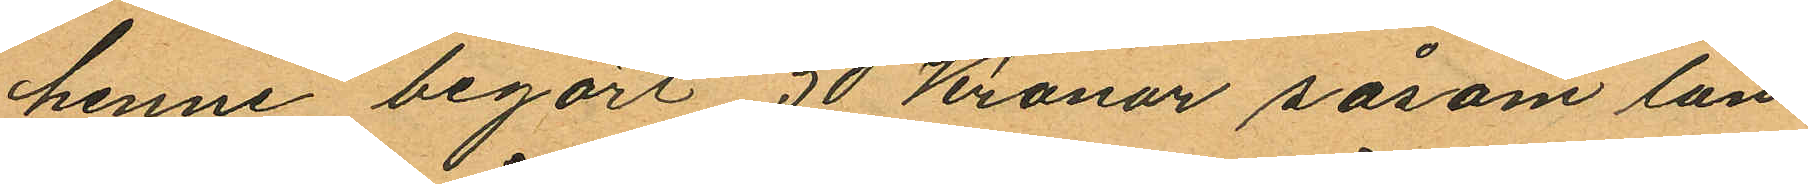henne begärt 50 Kronor såsom lån
